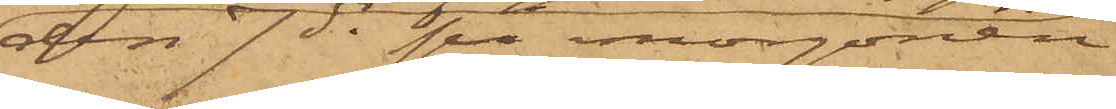den 7 ds på morgonen
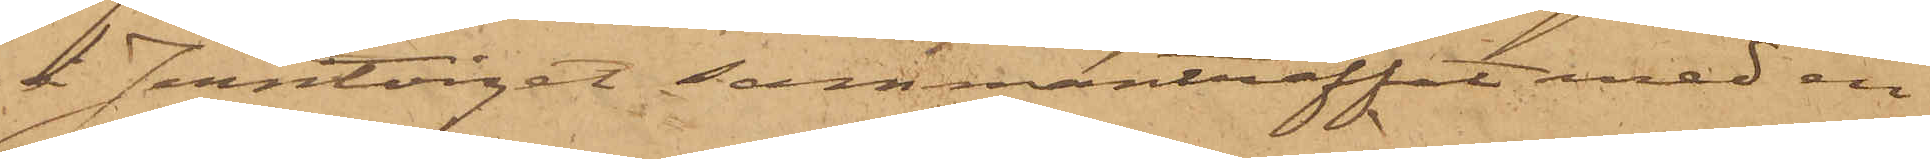å Jerntorget sammanträffat med en
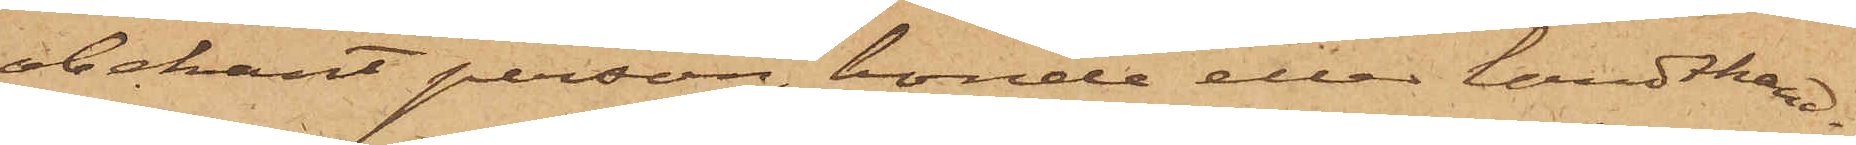obekant person, bonde eller landthand¬
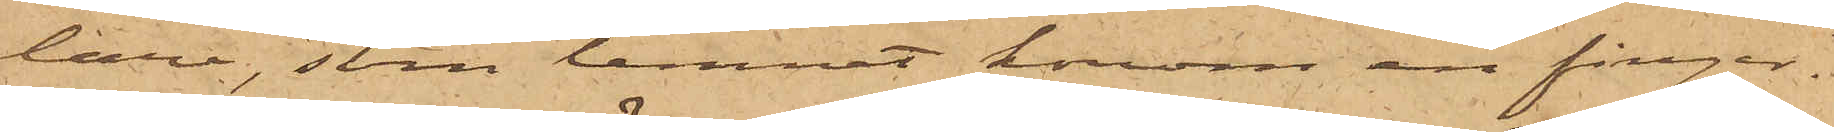lare, som lemnat honom en finger¬
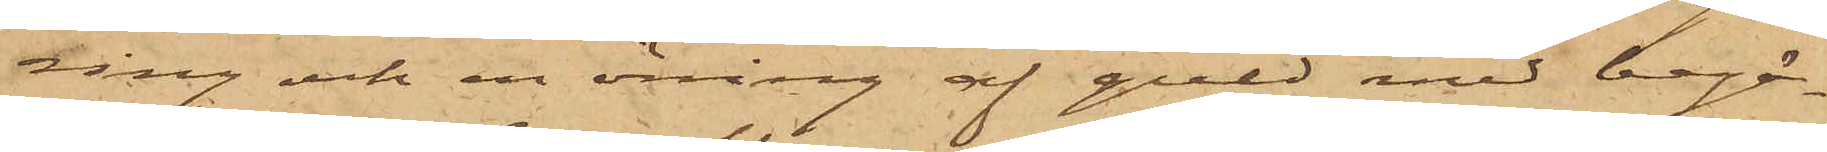ring och en örring af guld med begä¬
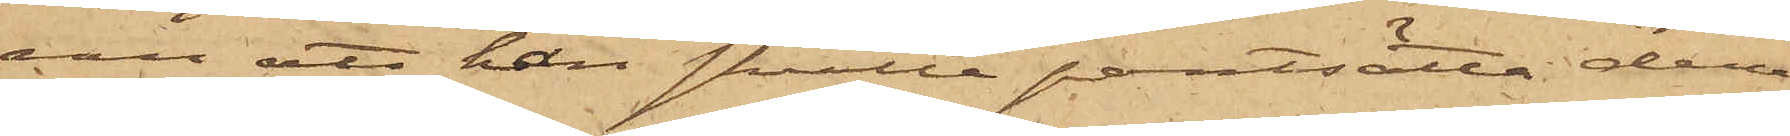van att han skulle pantsätta dem;
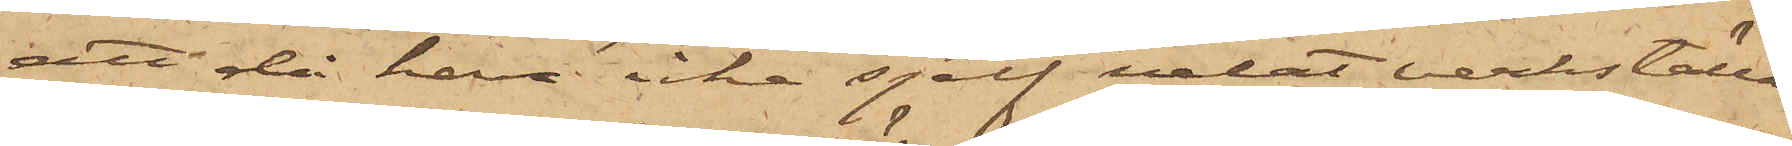att då han icke sjelf velat verkställa
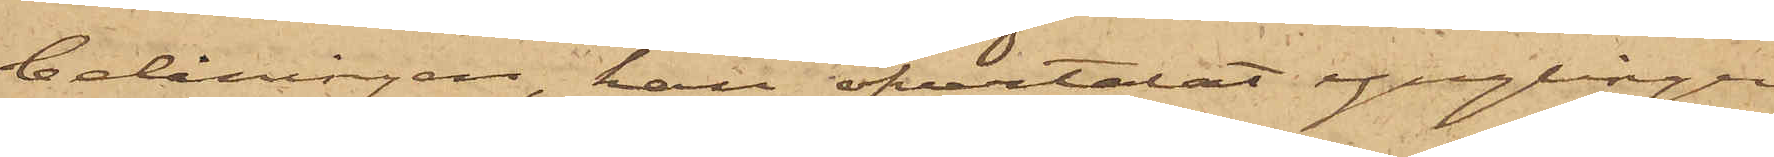belåningen, han öfvertalat ynglingen
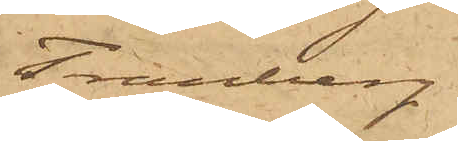Tranberg
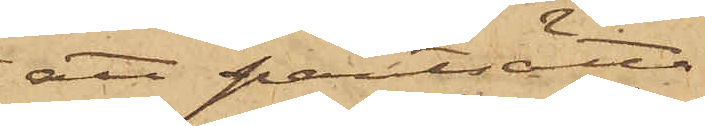att pantsätta
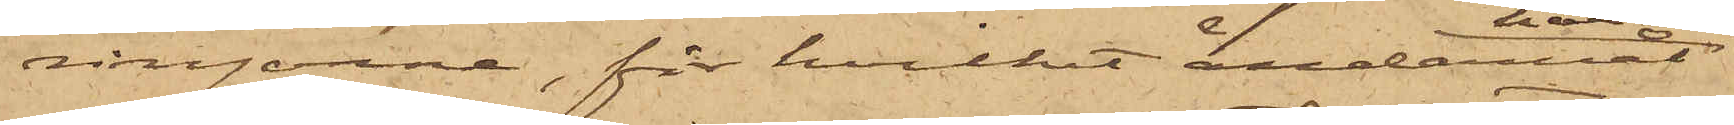ringarne, för hvilket ändamål
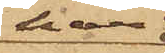han
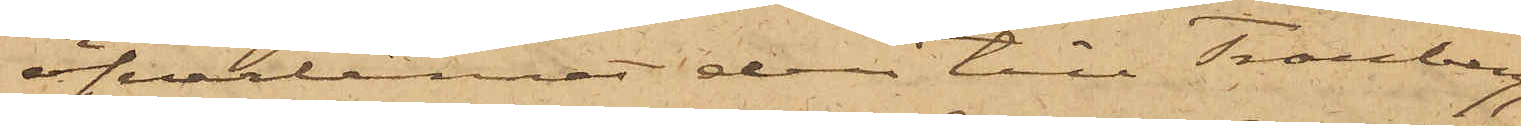öfverlämnat dem till Tranberg;
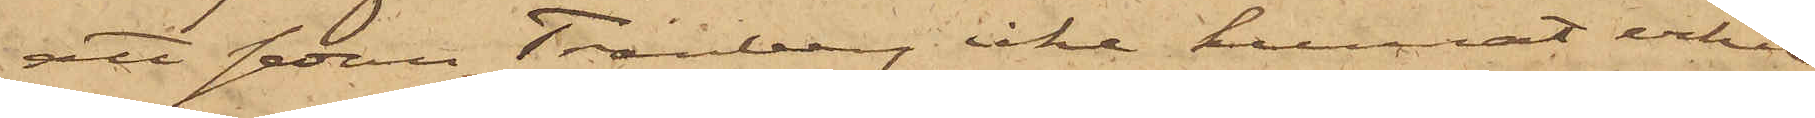att sedan Tranberg icke kunnat erhåll¬
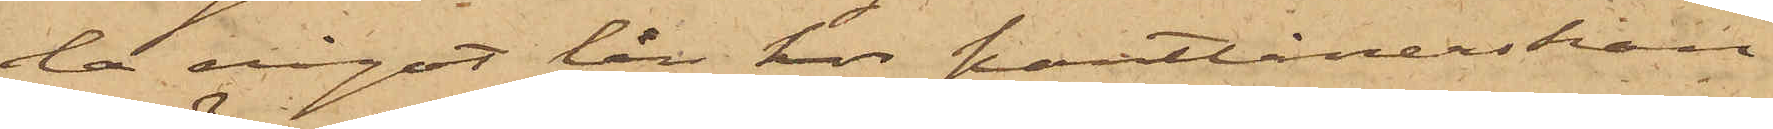la något lån hos Pantlånerskan
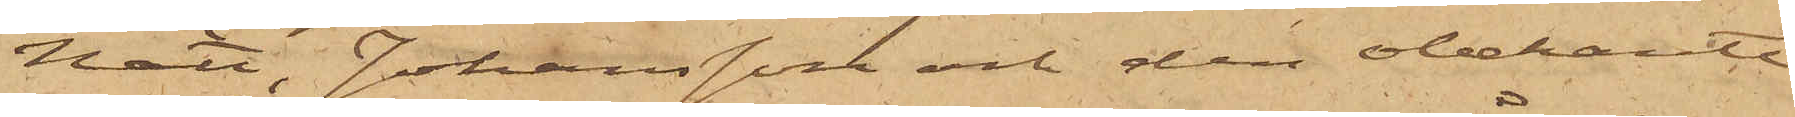Nätt, Johansson och den obekante
